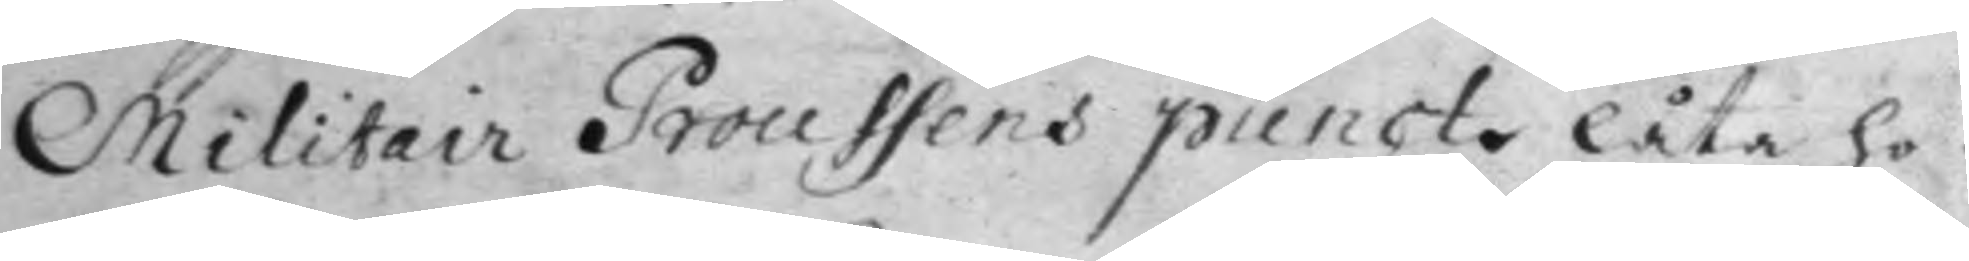Militair Prossens punot låta ho¬
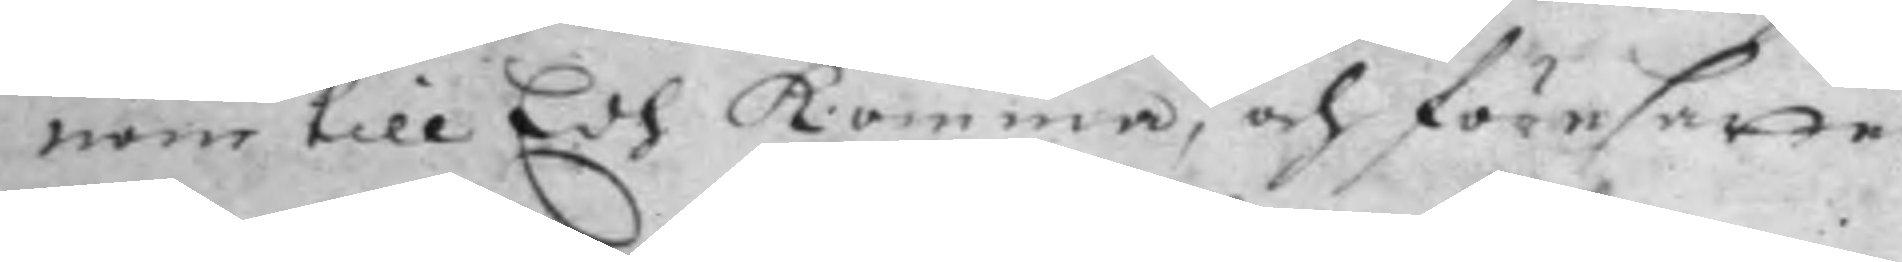nom till Edh komma, och föresatte
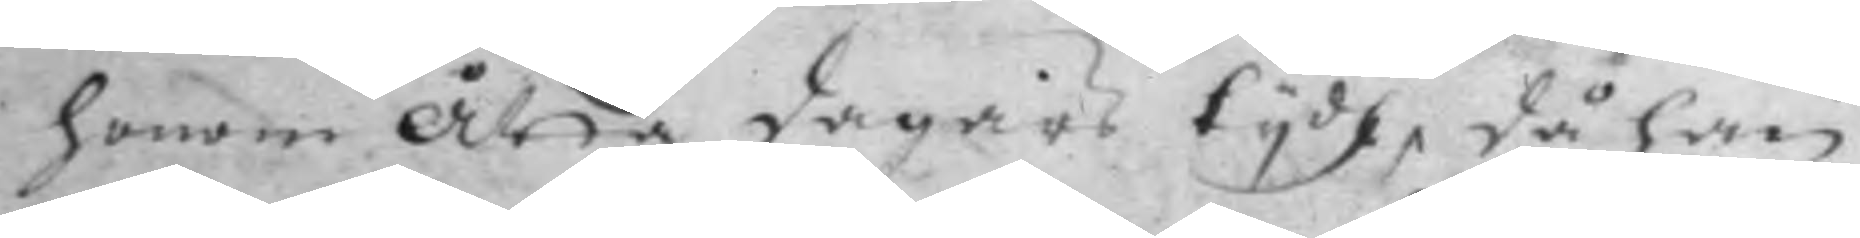honom åtta dagars tydh, då han
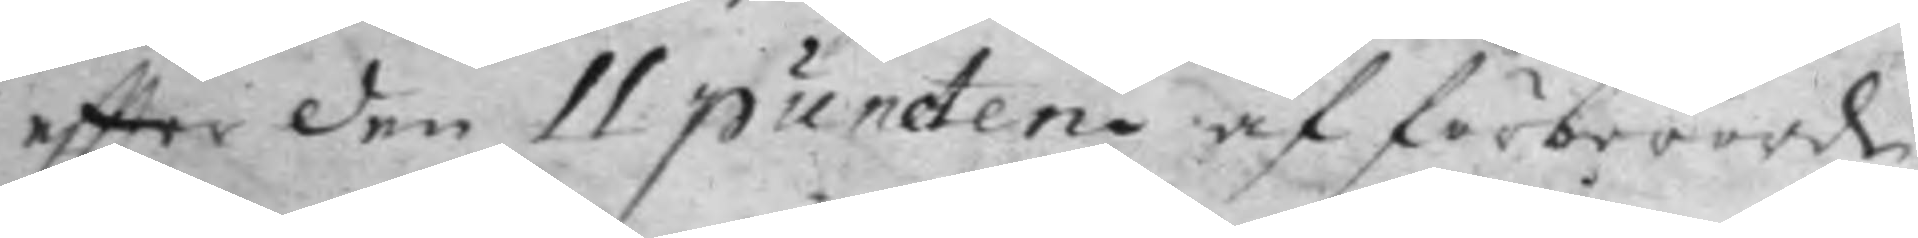eftter den 11 punten af förberörde
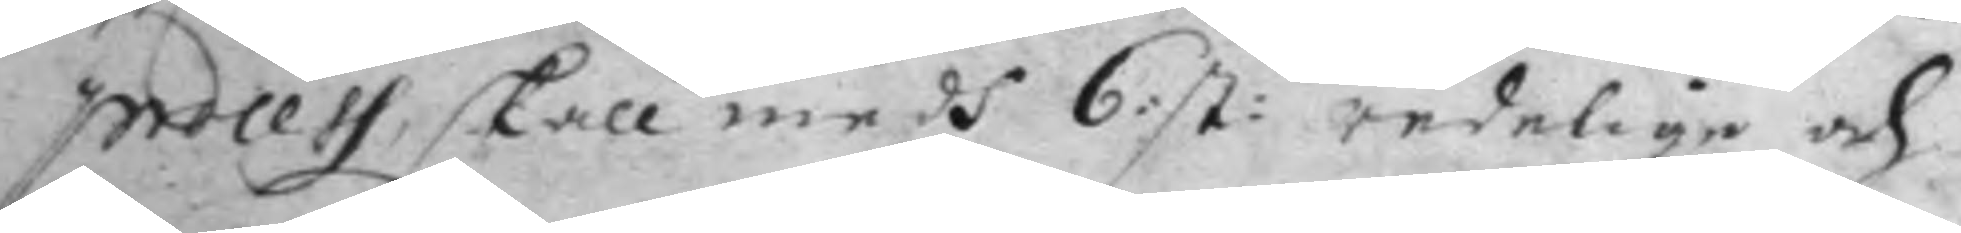process, skall medh 6: st: redelige och 
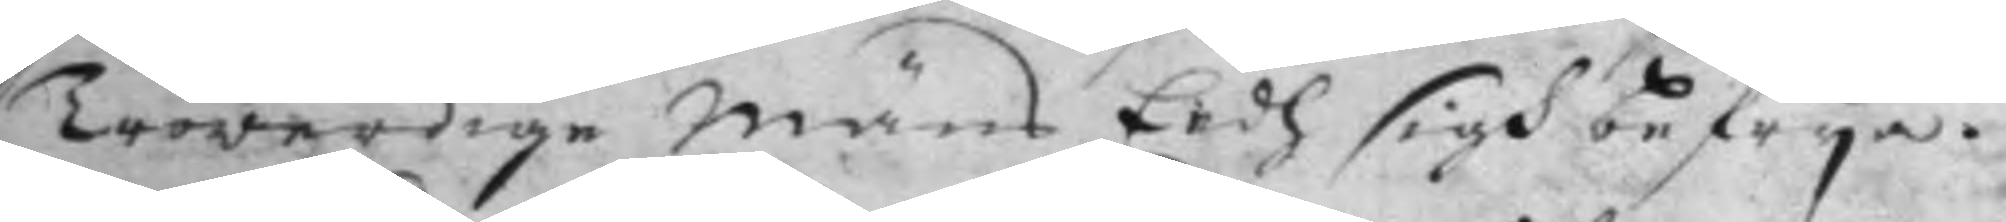Trowerdige Mäns Eedh sigh befrya.
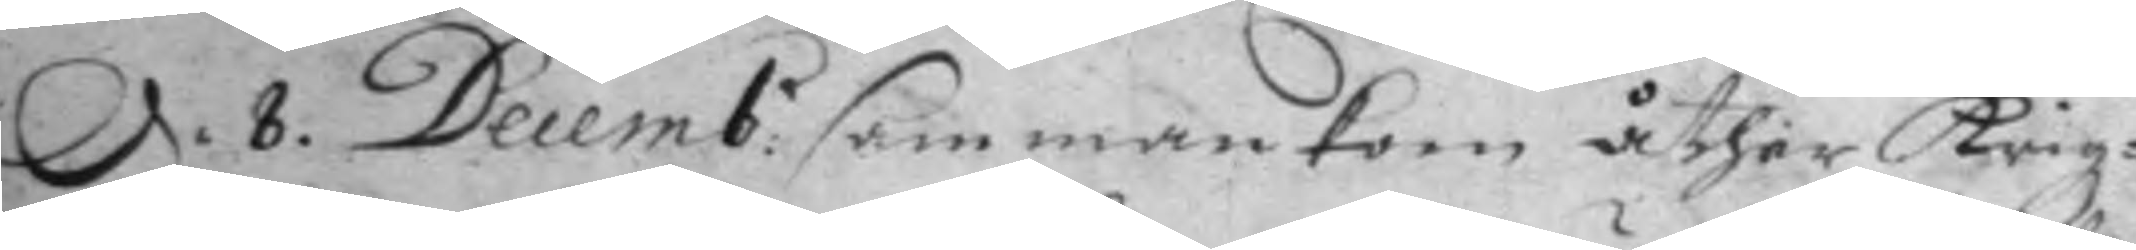d. 8 Decemb: sammankom åther Krigz¬ 
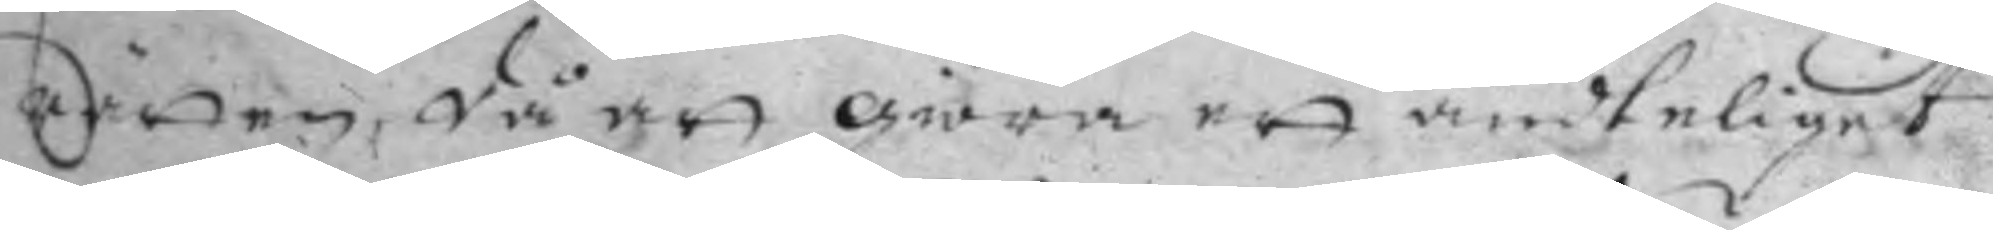Rätten, då att giöra ett ändteliget
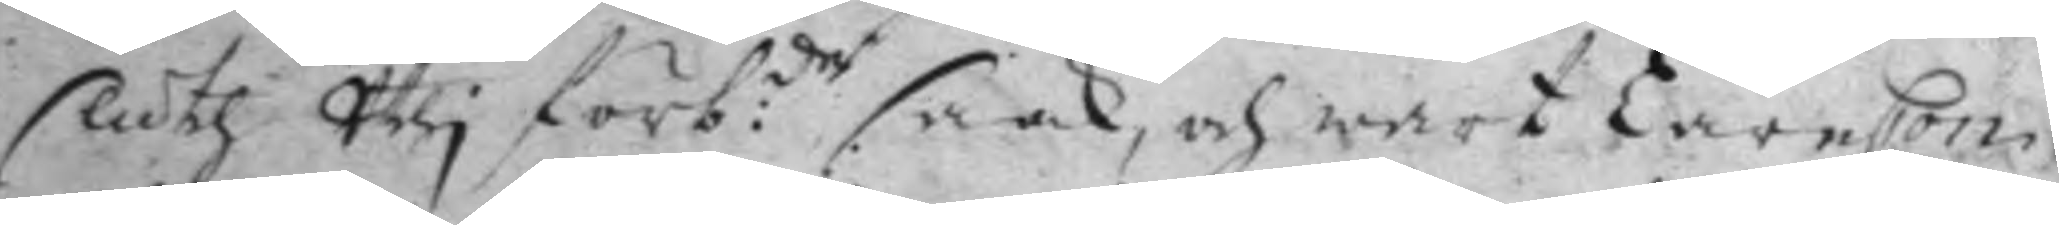sluth Uthj förb:de saak, och wart LäreCon¬ 
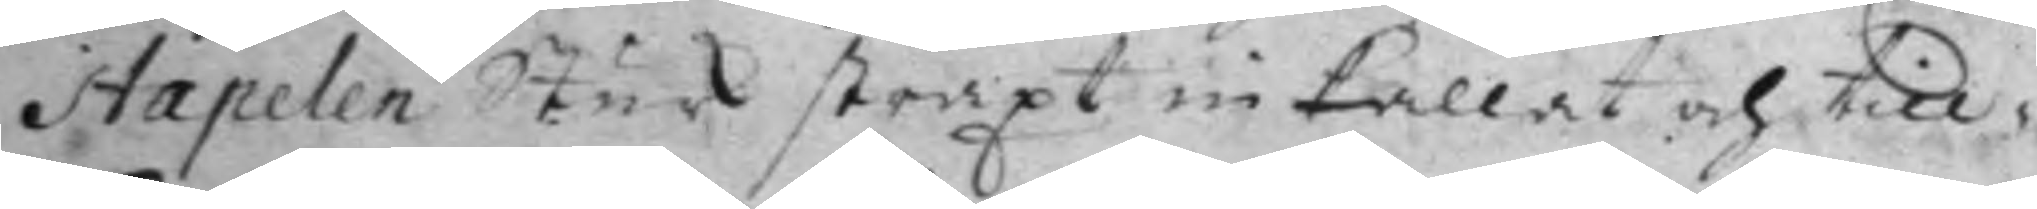Stapelen Sturk straxt inkallat och till¬
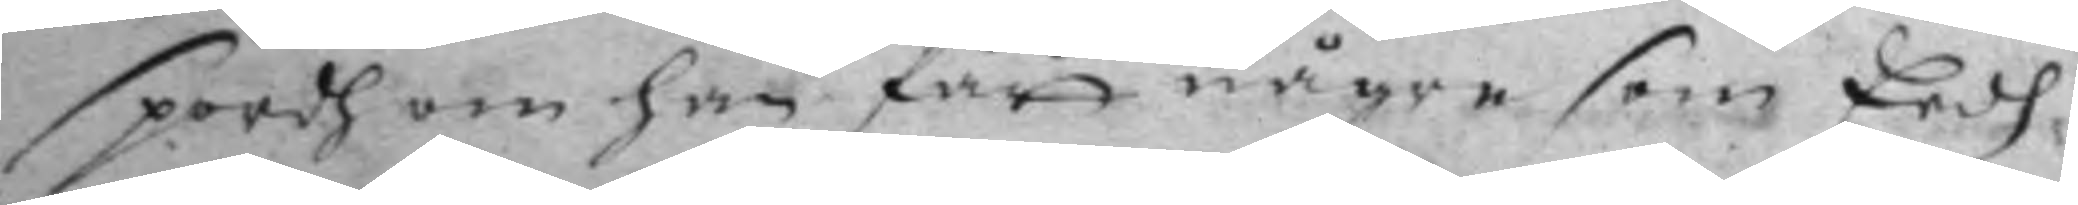spordh om han får någre som Eedh
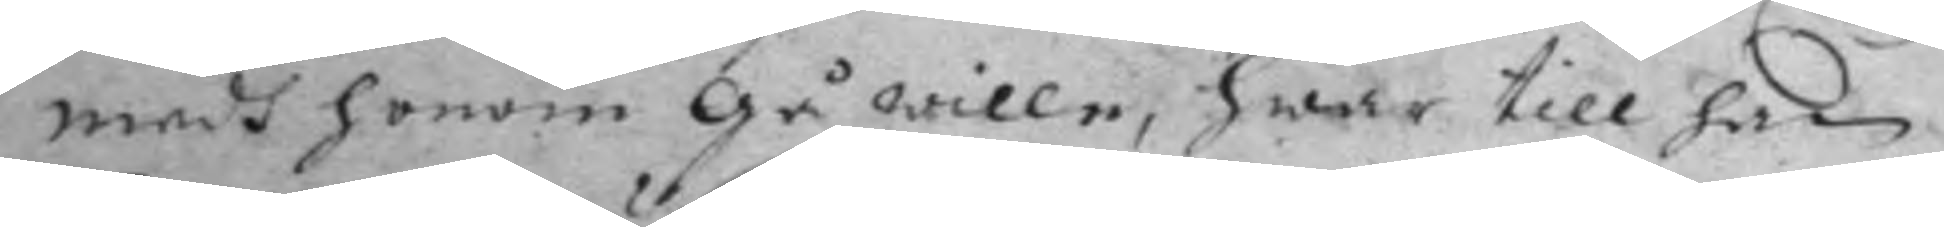medh honom gå wille, hwar till han.
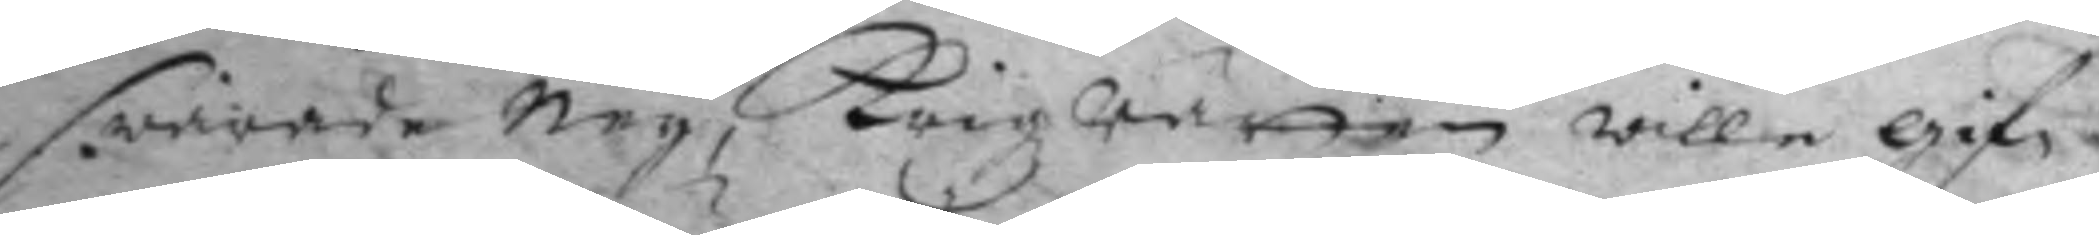swarade Ney, Krigzrätten willie gif¬
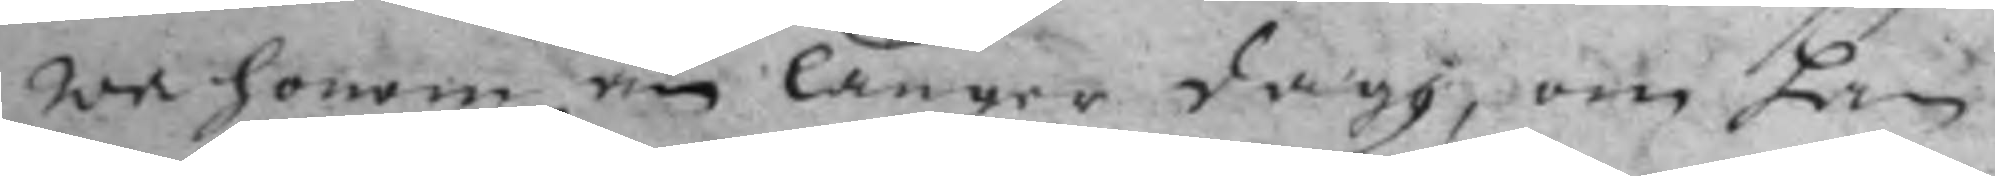wa honom en länger dagh, om han
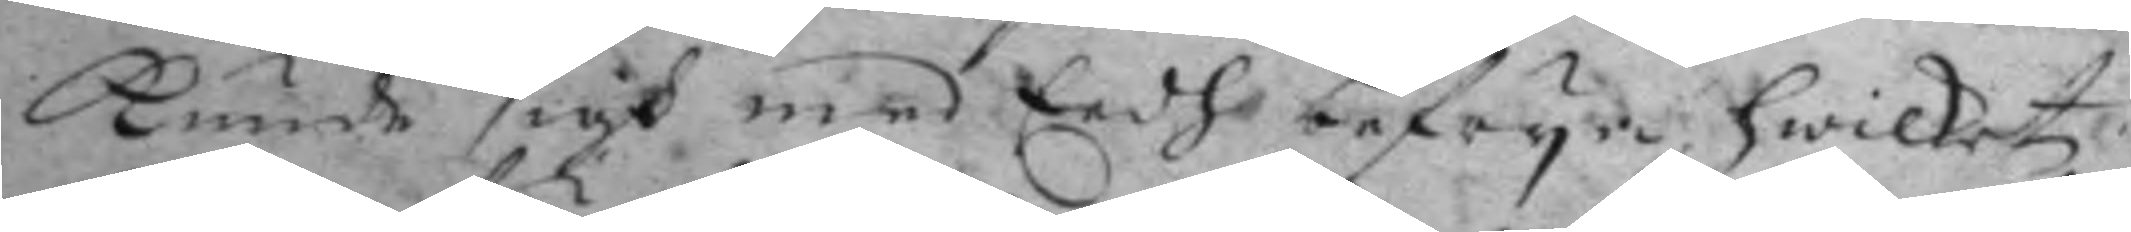kunde sigh med Eedh befrya, hwilket
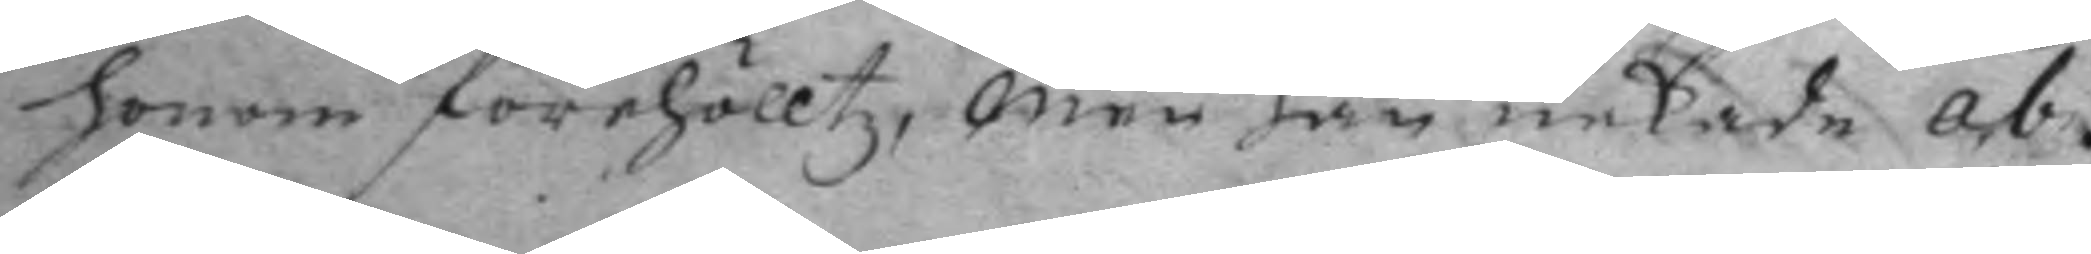honom förehölltz, Men han nekade ab¬
